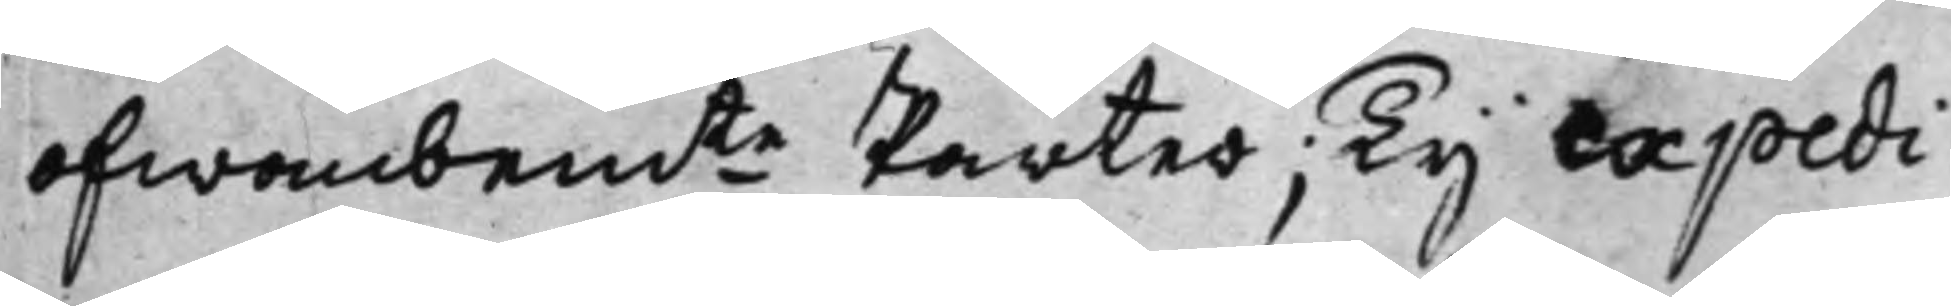ofwanbemte Parter; Ty expedi¬
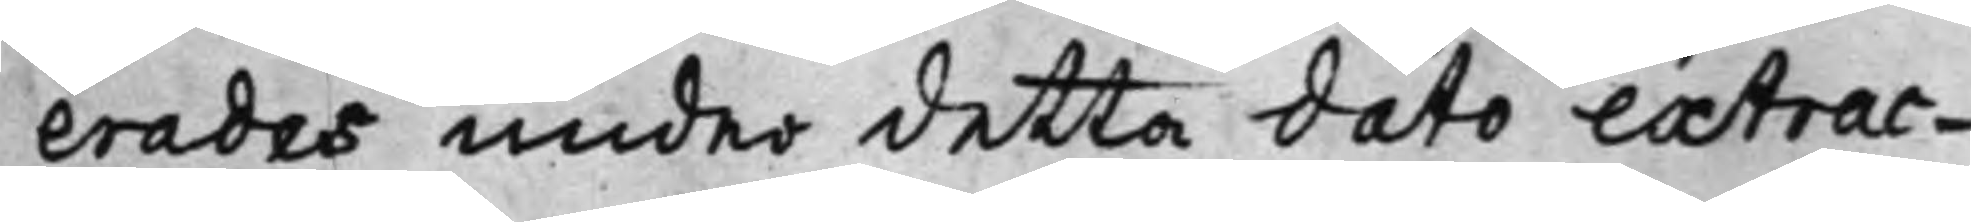erades under detta dato extrac¬
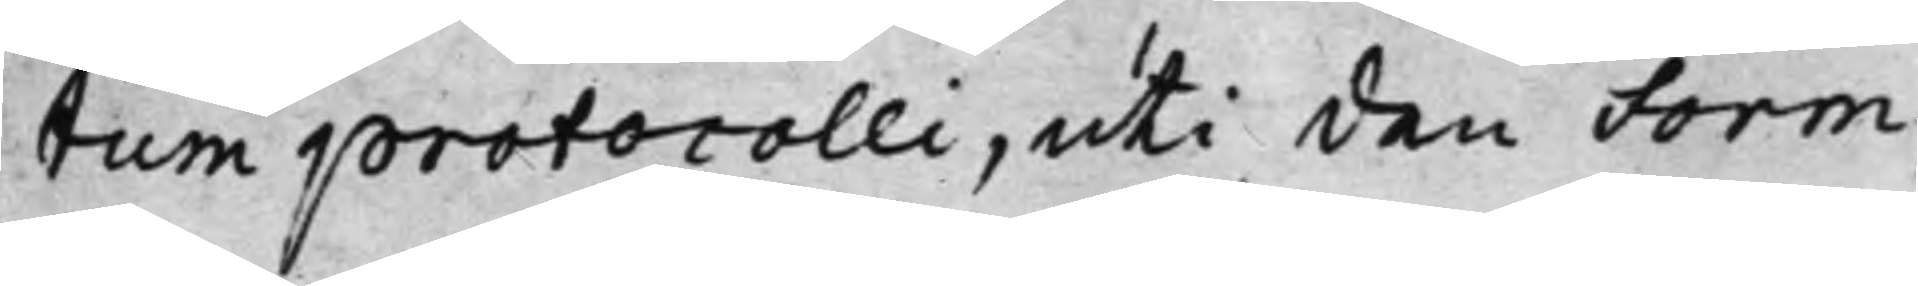tum protocolli, uti den Form
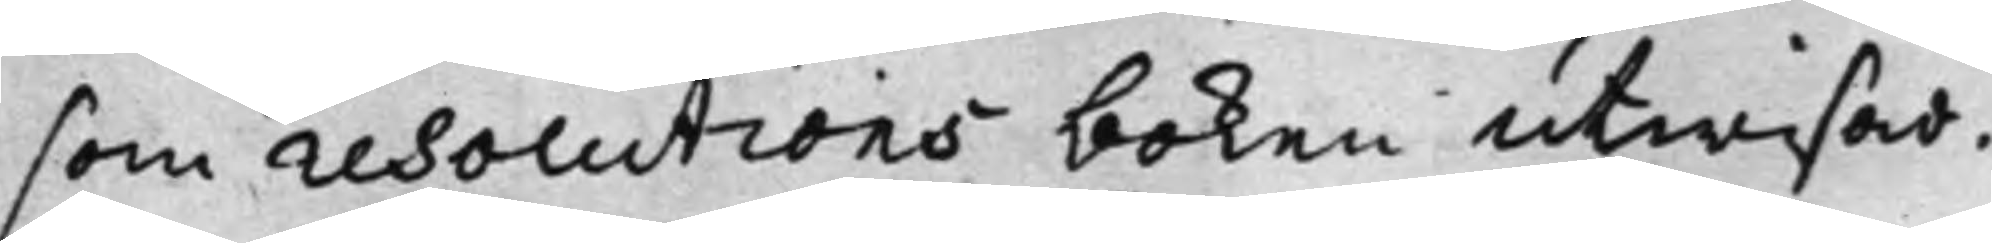som resolutions boken utwisar.
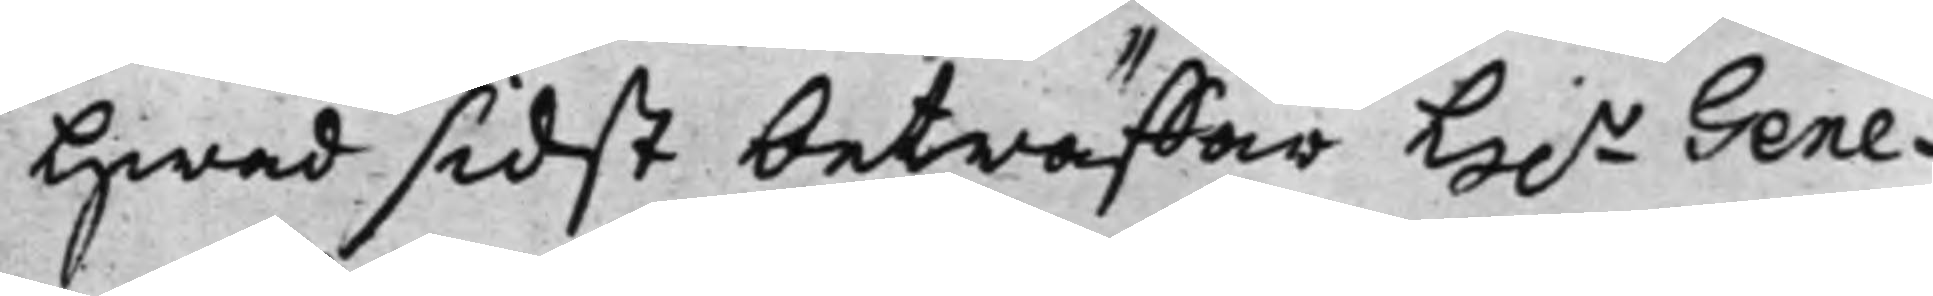Hwad sidst beträffar H.r Gene¬
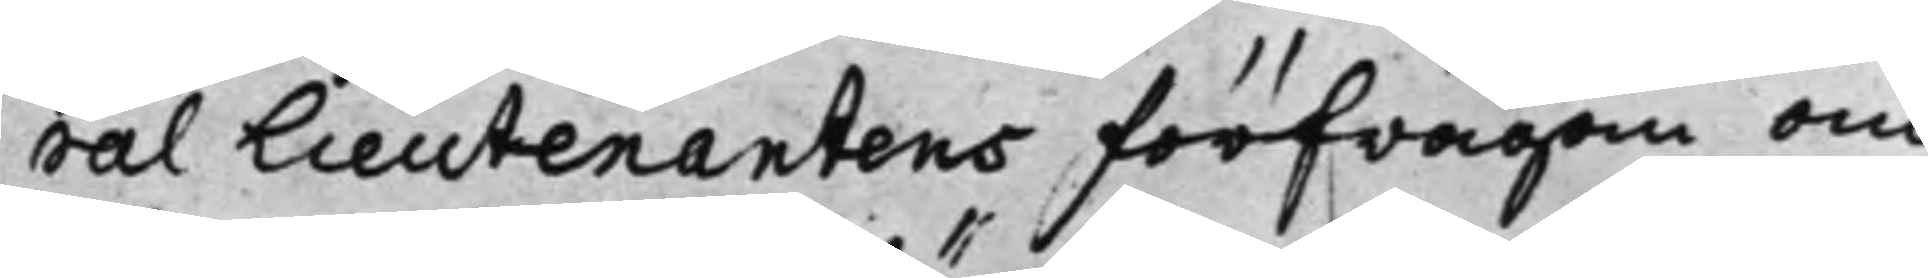ral Lieutenantens förfrågan om
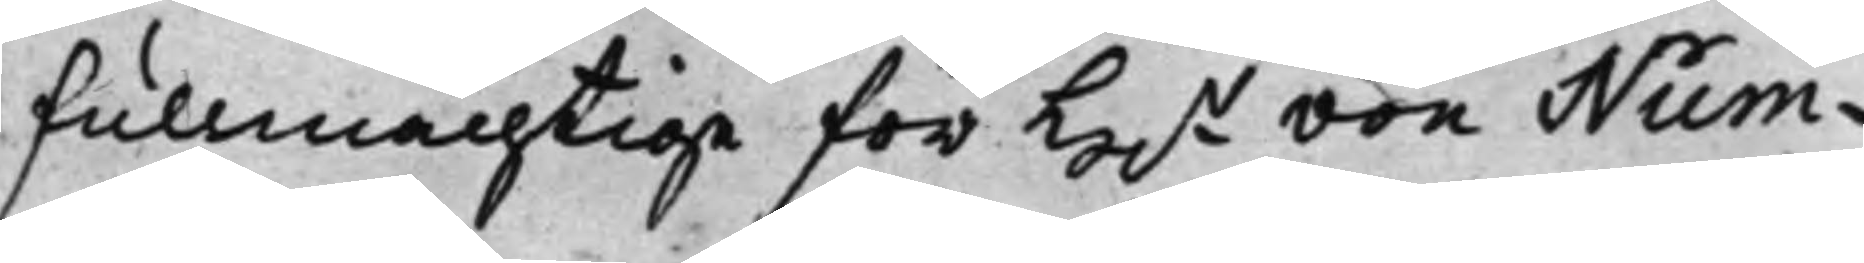fullmächtige för H.r von Num¬
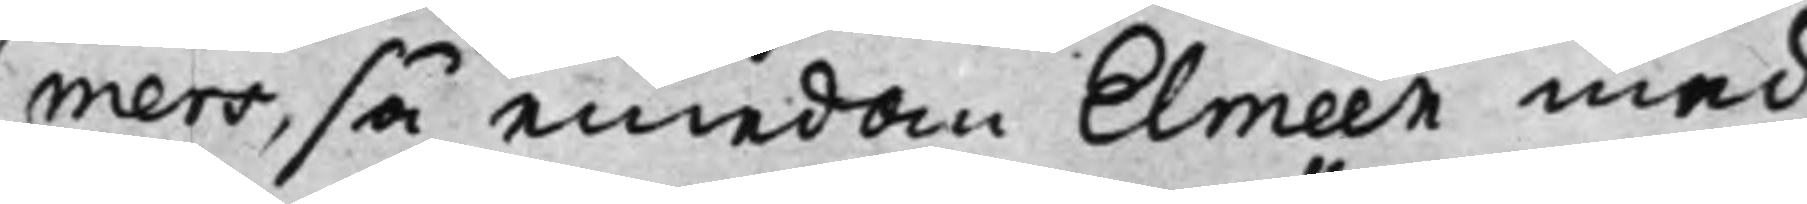mers, så emedan Elmeen med
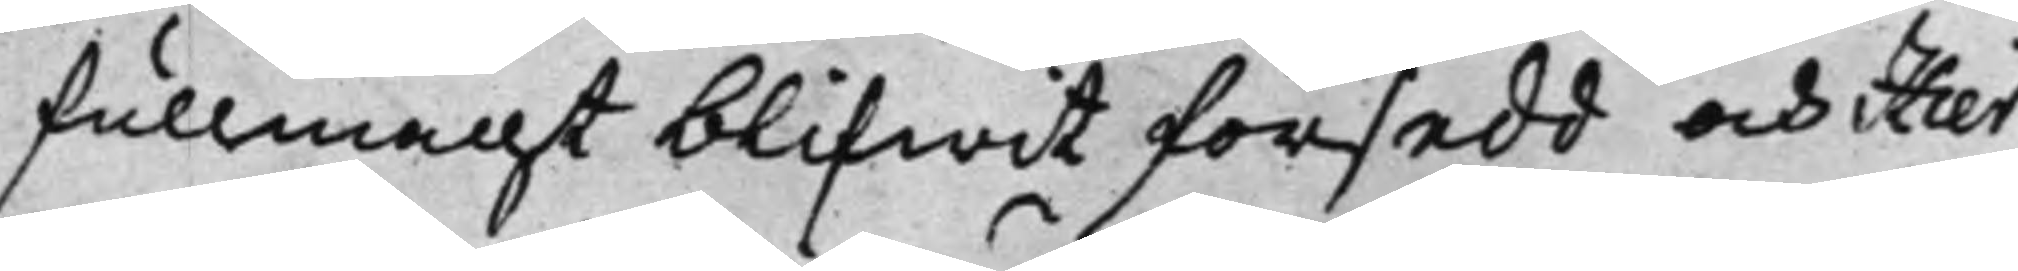fullmacht blifwit försedd, och Hier¬
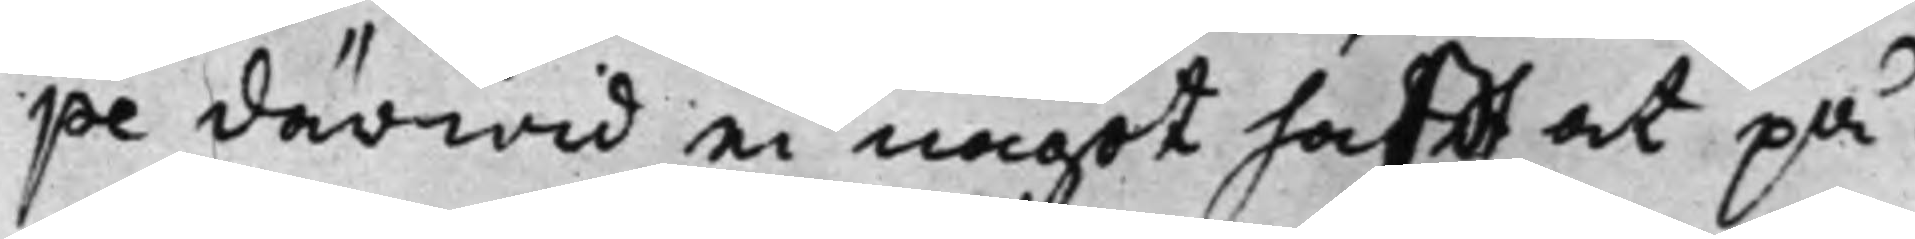pe därwid ei något hafft at på¬
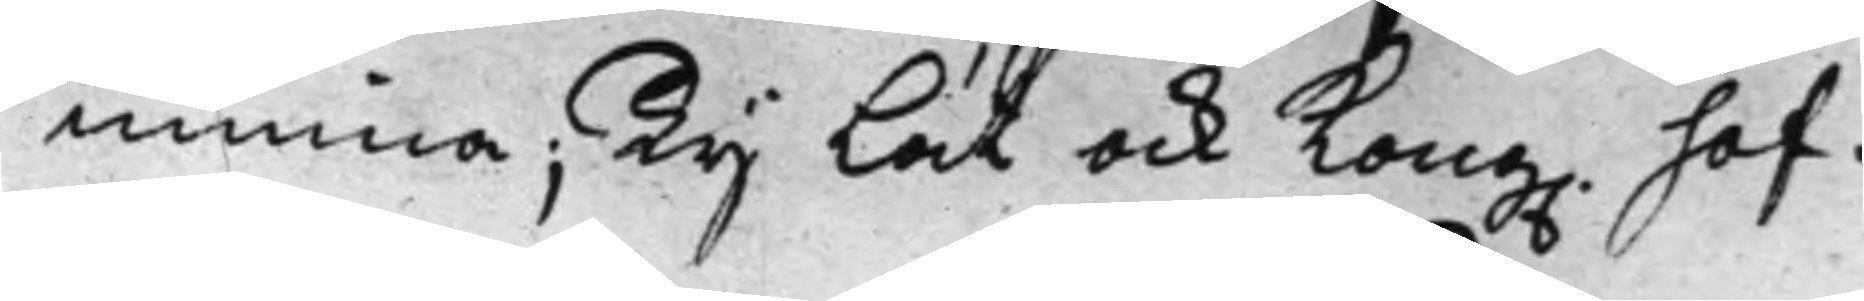minna; Ty Lät ock Kong. hof¬
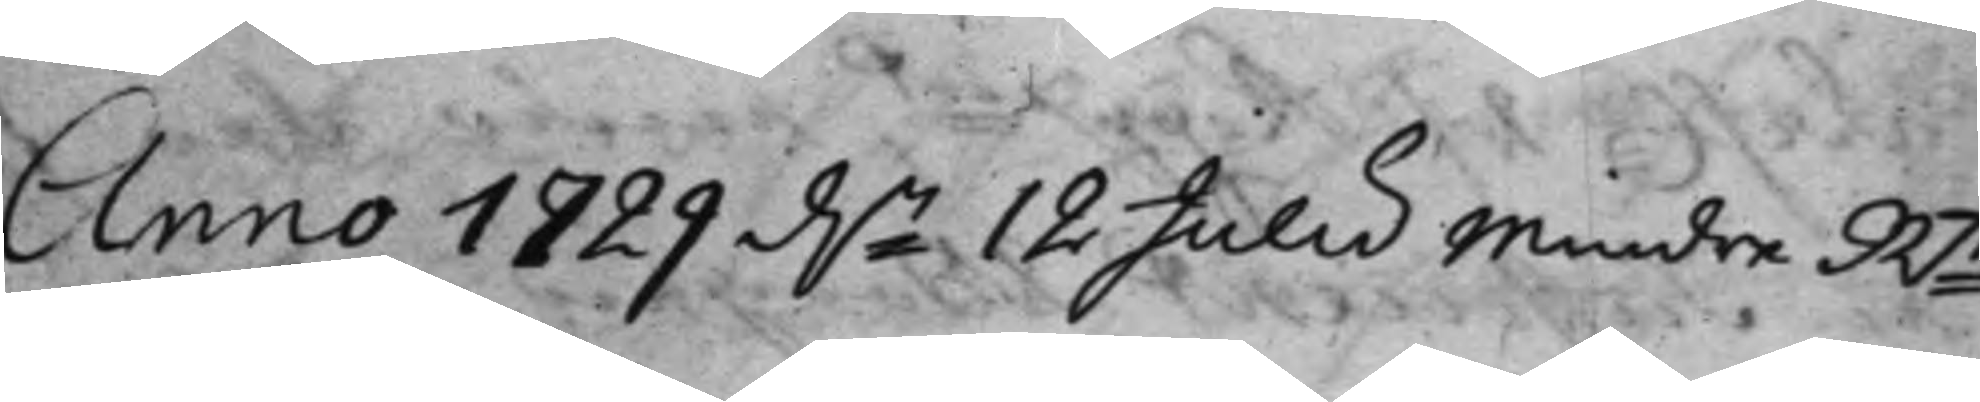Anno 1829 d.n 12 Julii Mindre Rt
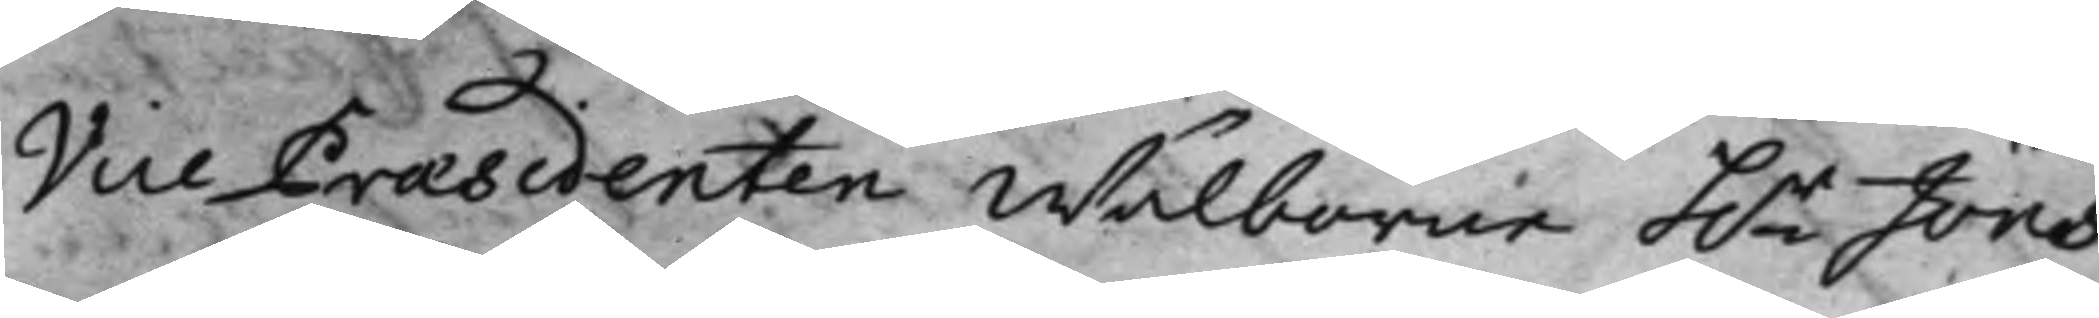Vice Praesidenten Wälborne h.r Jöns
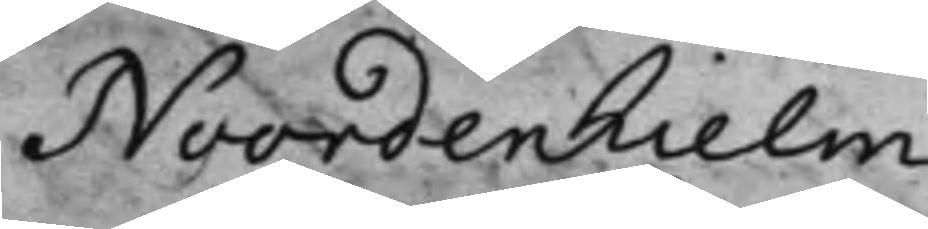Noordenhielm
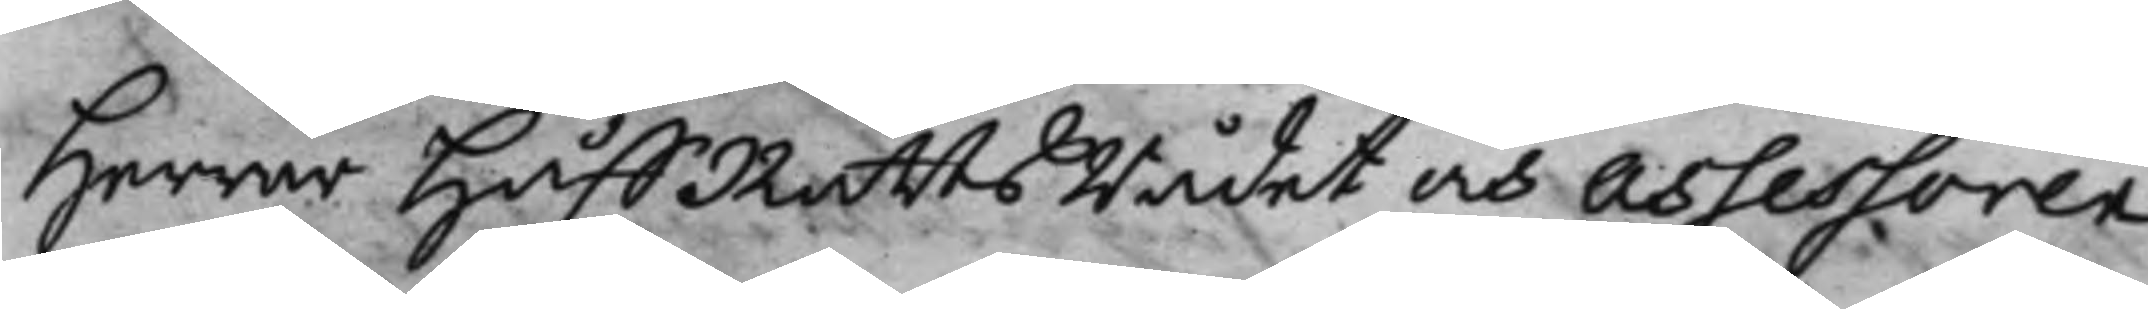Herrar HåffRättsRådet och Assessoren
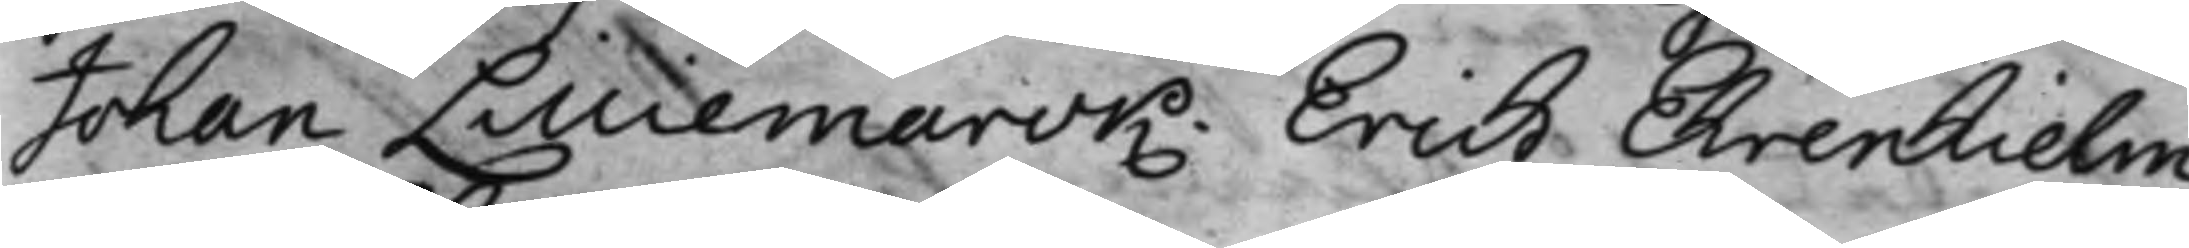Johan Lilliemarck. Erich Ehrenhielm.
